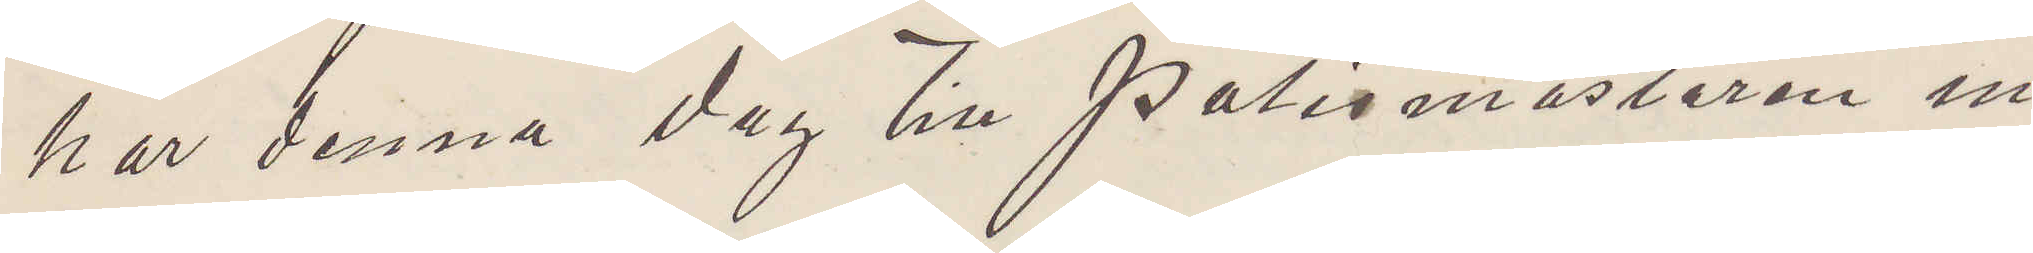har denna dag till polismästaren in¬
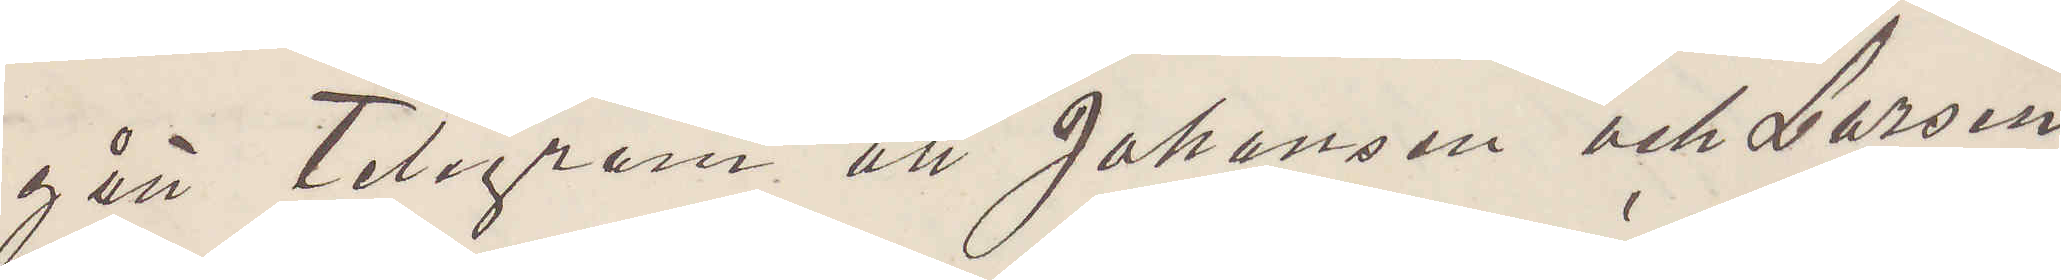gått Telegram att Johansson och Larsen
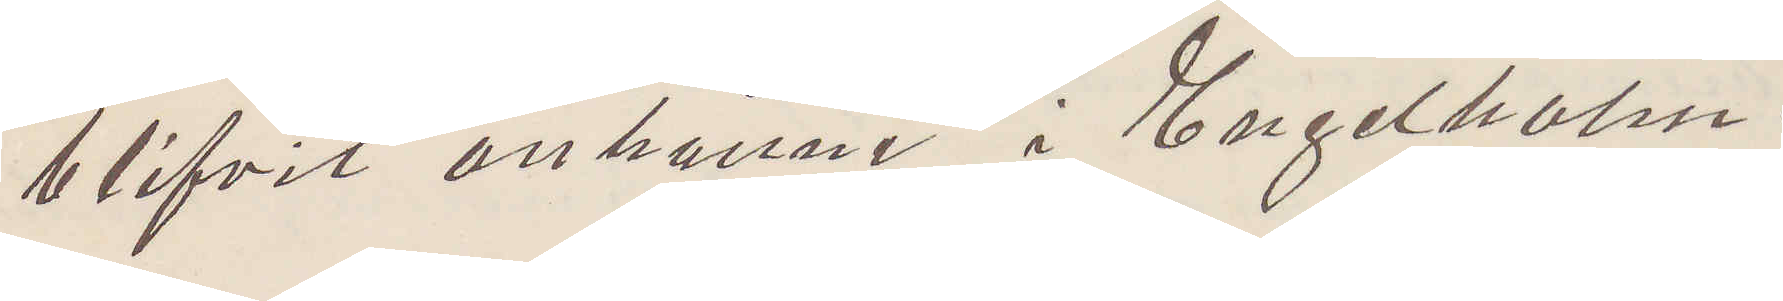blifvit anhållne i Engelholm.
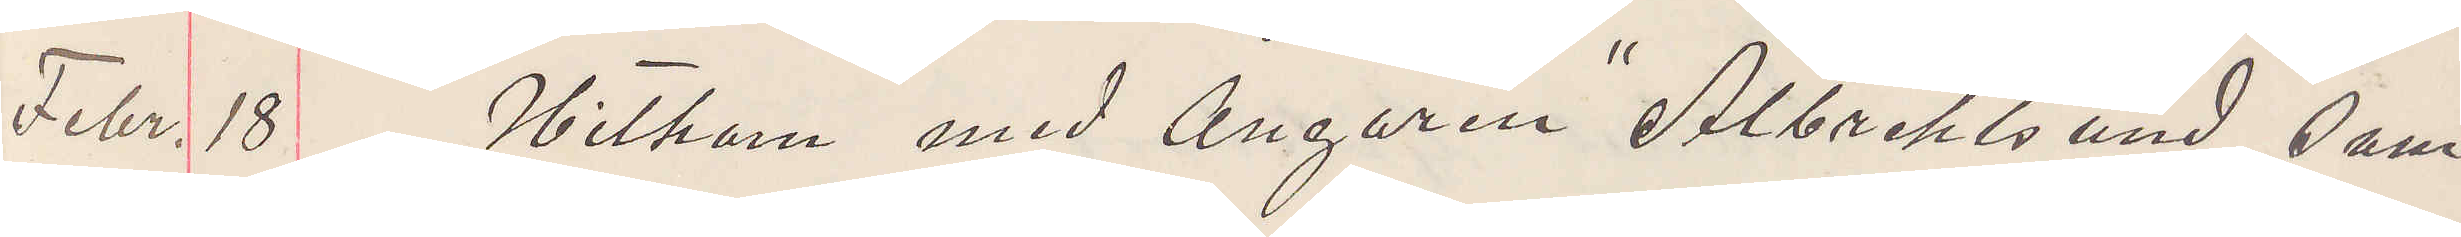Febr. 18 Hitkom med Ångaren "Albrektsund" sam¬
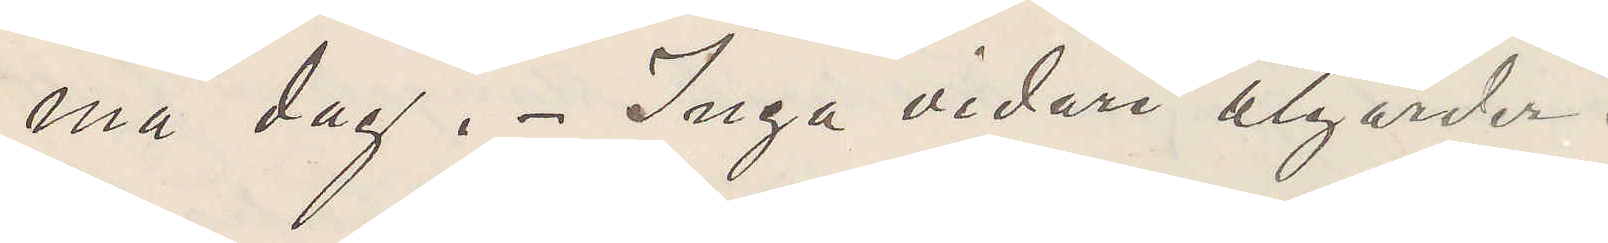ma dag. Inga vidare åtgärder.
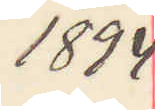1894
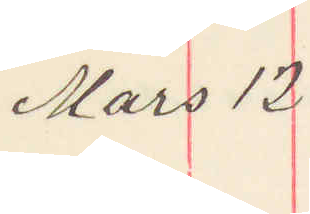Mars 12
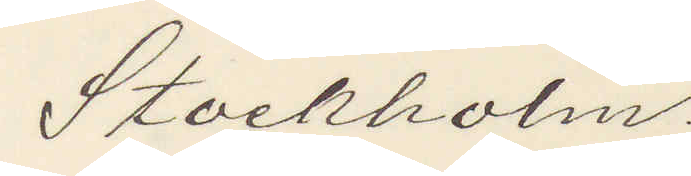Stockholm.
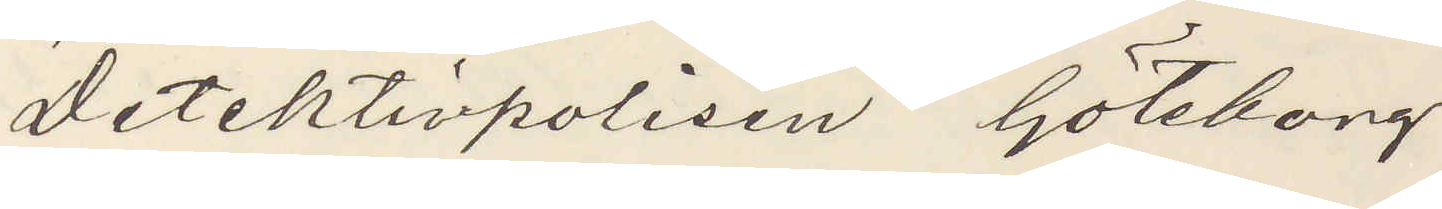Detektivpolisen Göteborg.
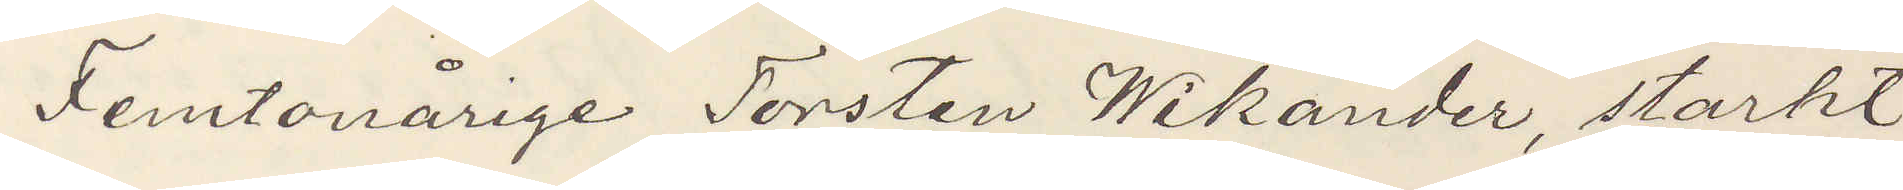Femtonårige Torsten Wikander, starkt
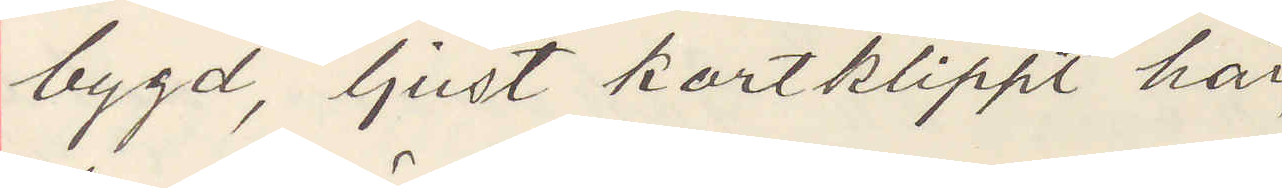bygd, ljust kortklippt hår,
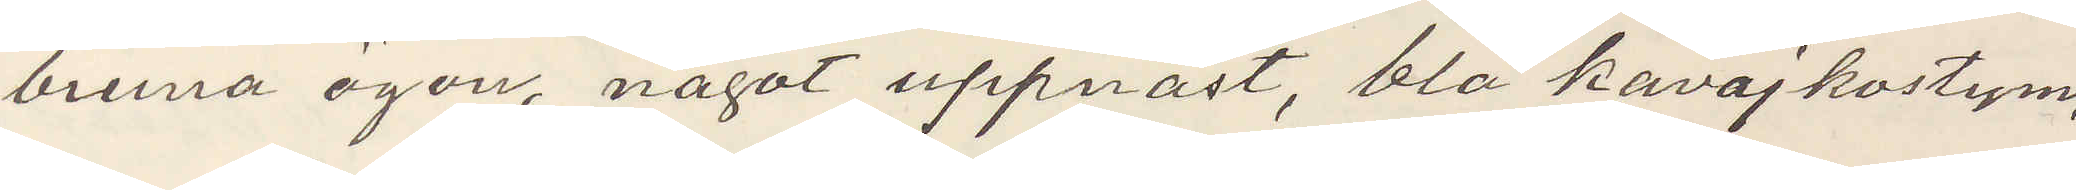bruna ögon, något uppnäst, blå kavajkostym,
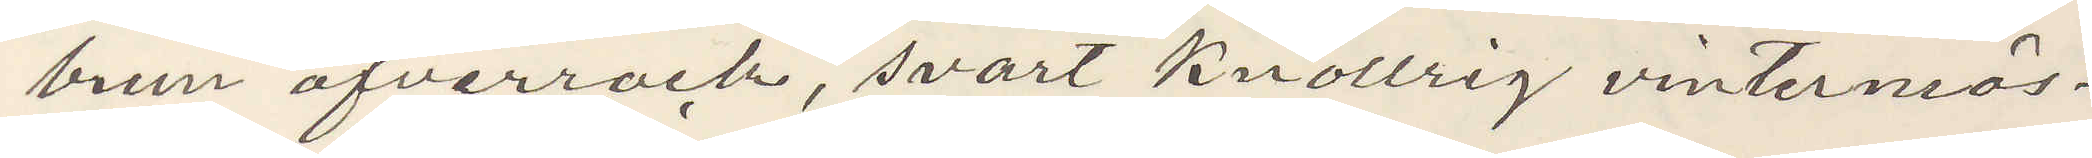brun öfverrock, svart knollrig vintermös¬
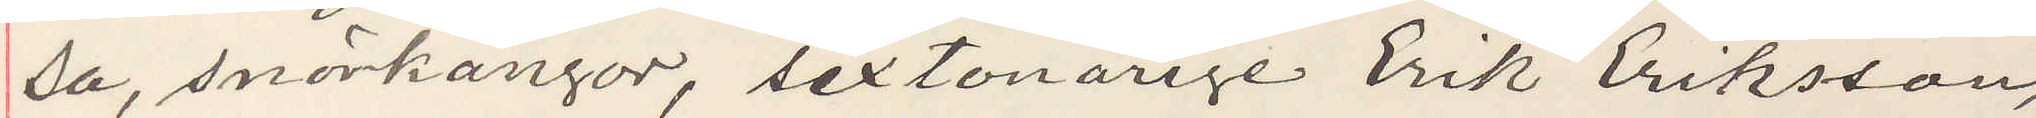sa, snörkängor, sextonårige Erik Eriksson,
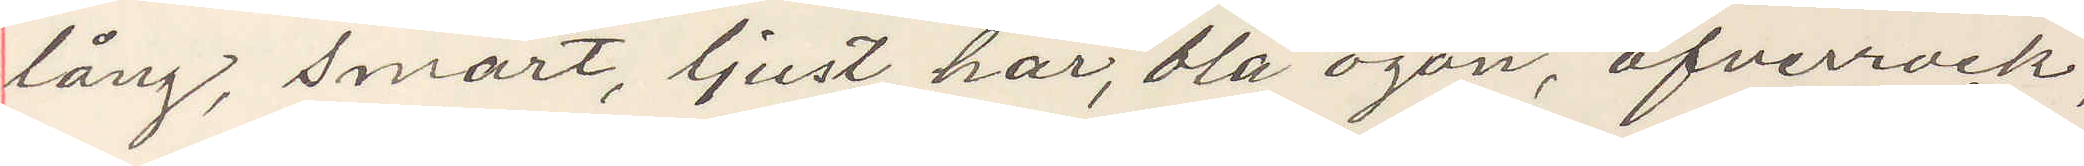lång, smärt, ljust hår, blå ögon, öfverrock,
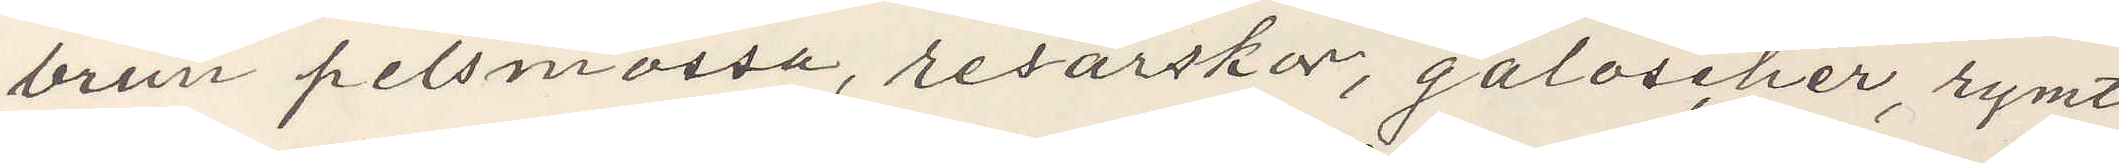brun pelsmössa, resårskor, galoscher, rymt
